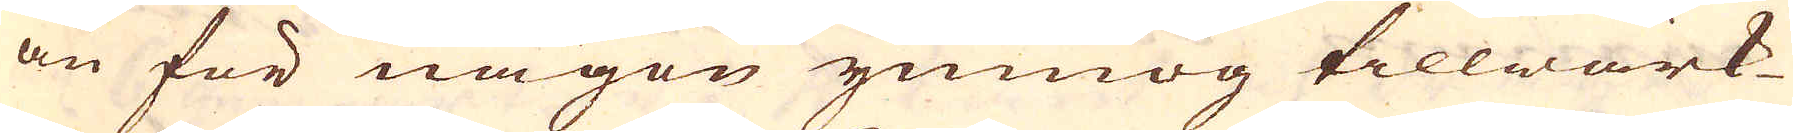än för någon ymnog tillwärk-
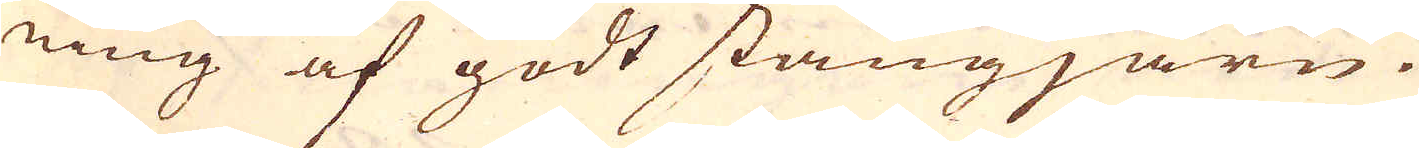ning af godt stångjärn.
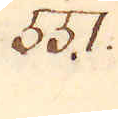551.
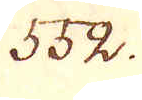552.
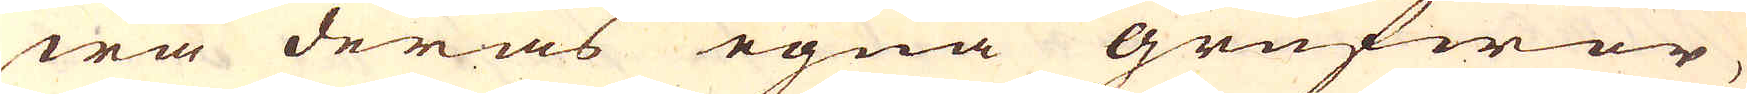wa deras egna grufwor,
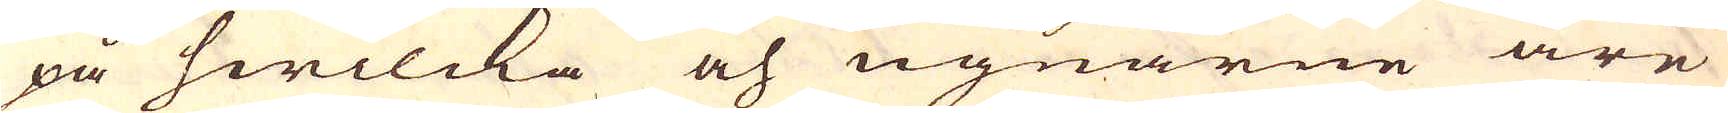på hwilcka och ugnarne äre
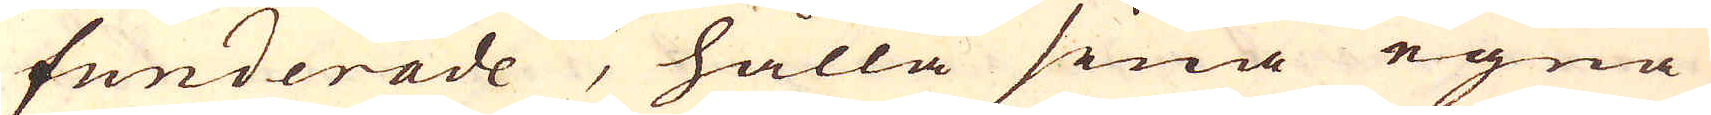funderade, hålla sina egna
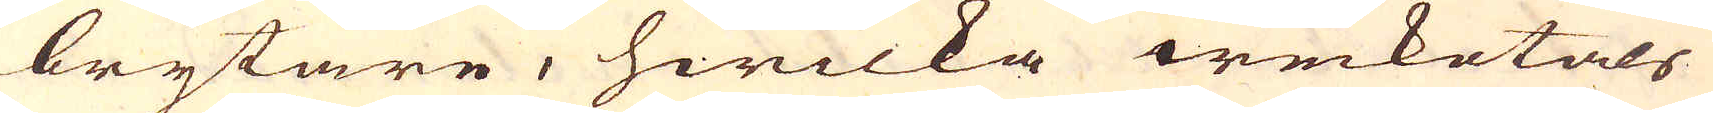brytare, hwilka weckotals
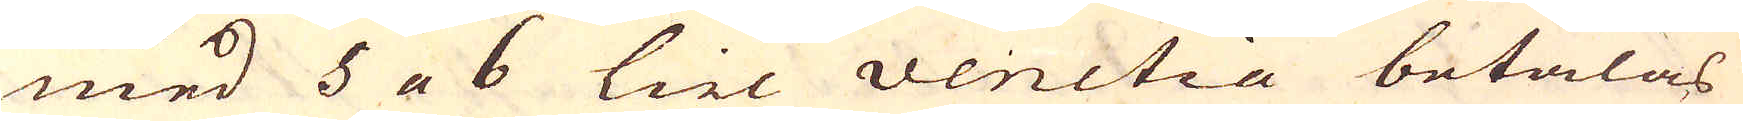med 5 a 6 tiel venitia betalas
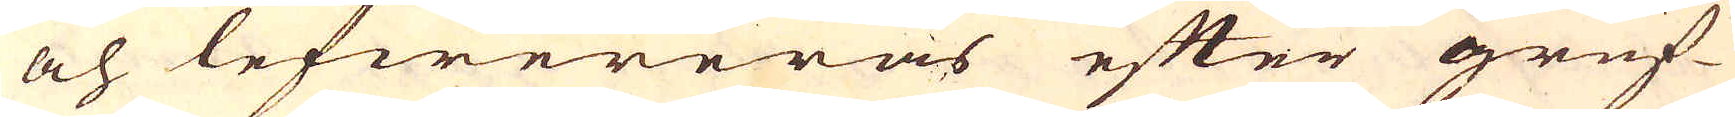och lefwereras efter gruf-
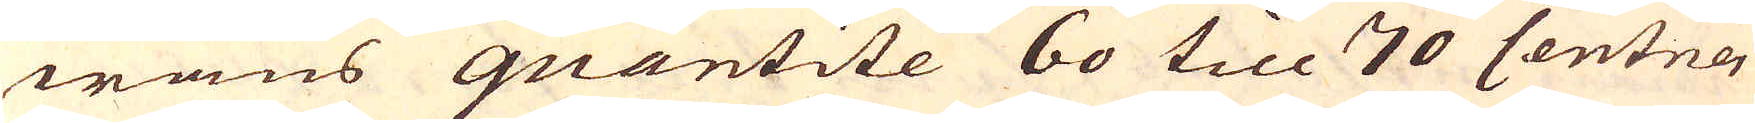wans quantité 60 till 70 Centner
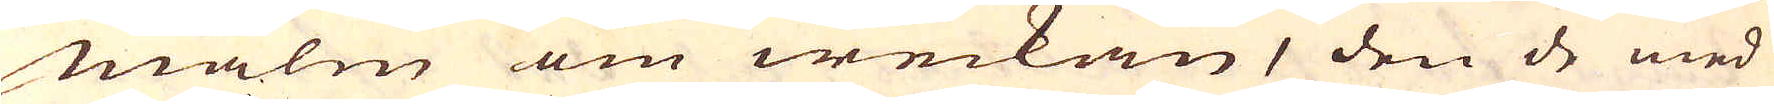malm om weckan, den de med
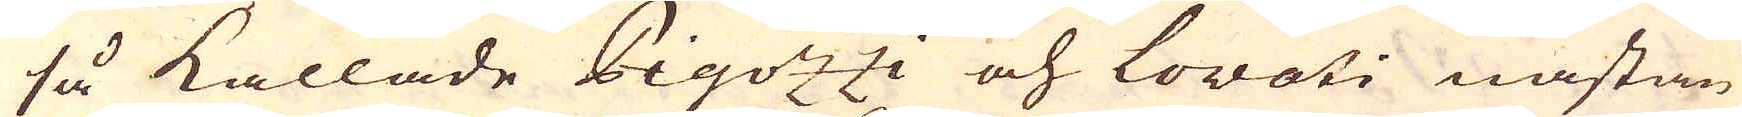så kallade Pigozzi och Lovati nästan
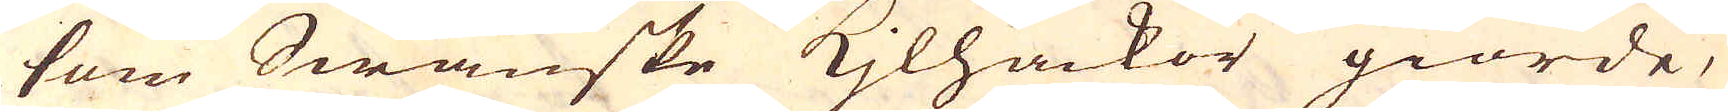som Swänske Kjlhackor giorde,
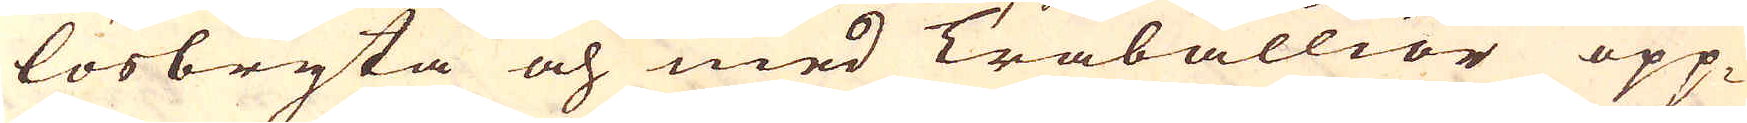lösbryta och med Träballior opp-
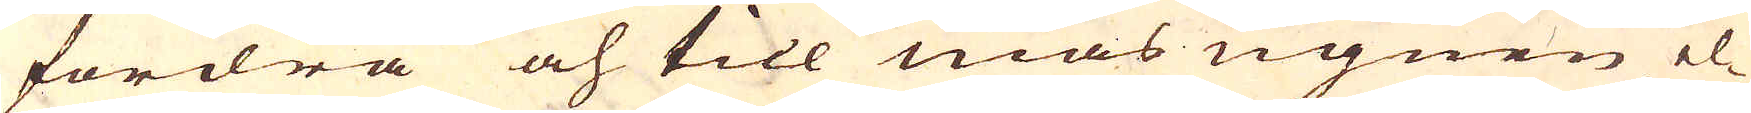fordra och till mas ugnen el-
